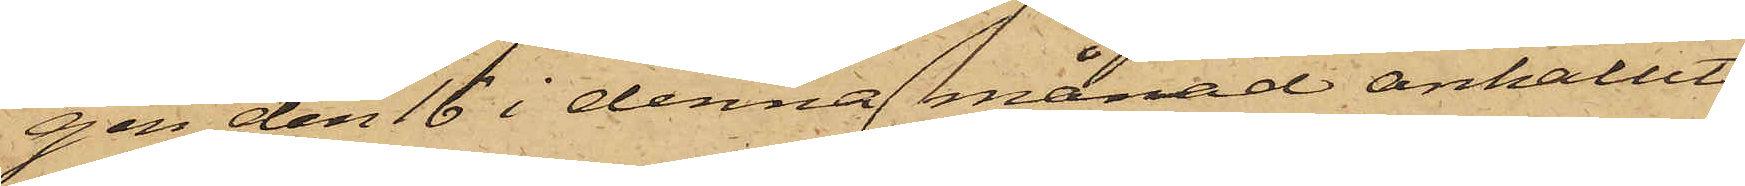gen den 16 i denna månad anhållit
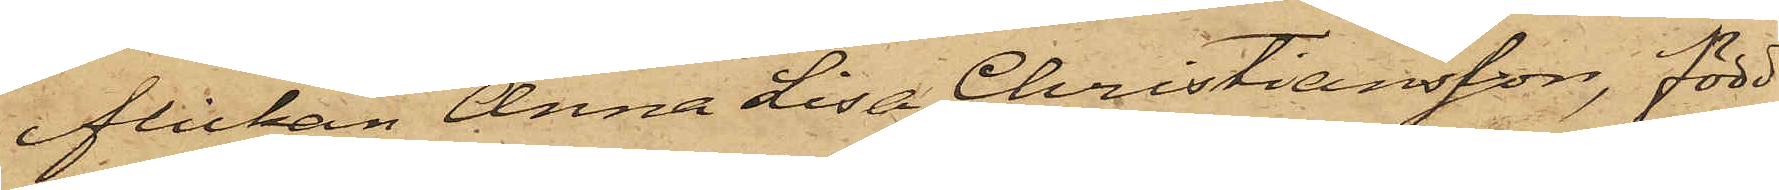flickan Anna Lisa Christiansson, född
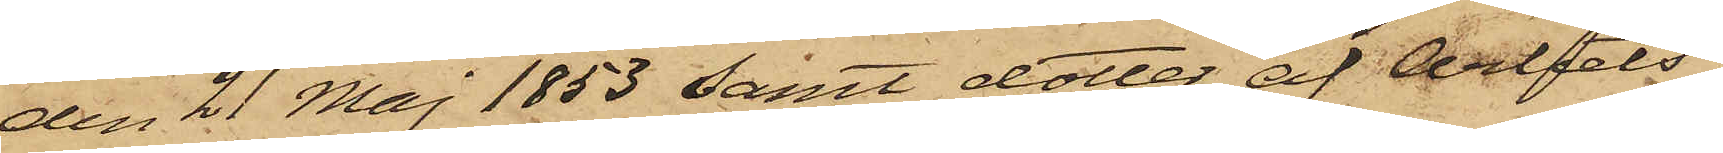den 21 Maj 1853 samt dotter af Arbets¬
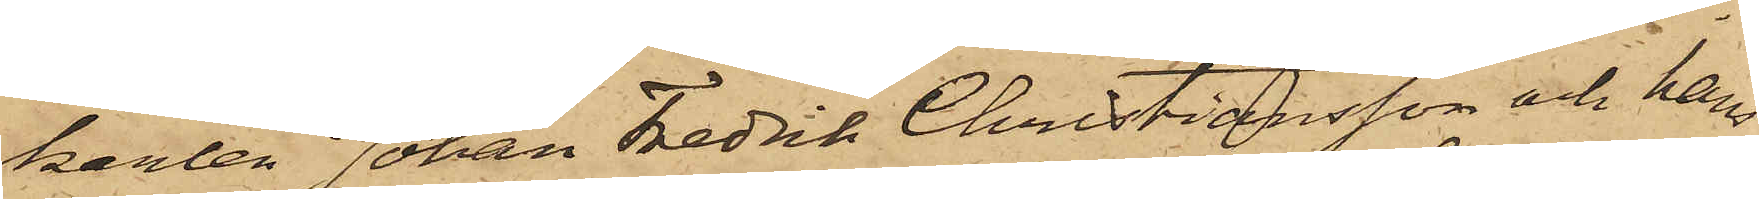karlen Johan Fredrik Christiansson och hans
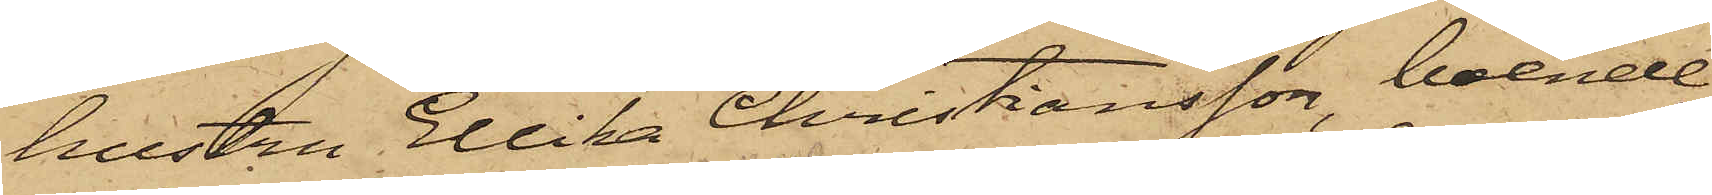hustru Ellika Christiansson, boende
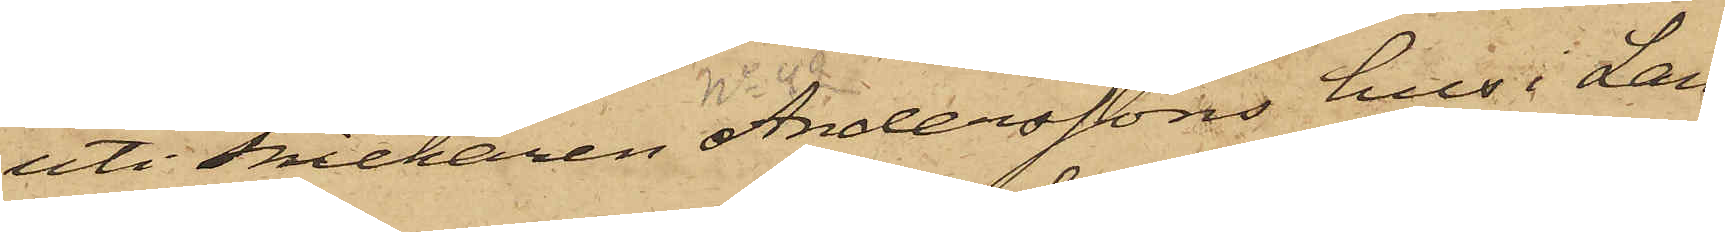uti Snickaren Anderssons hus i Lan¬
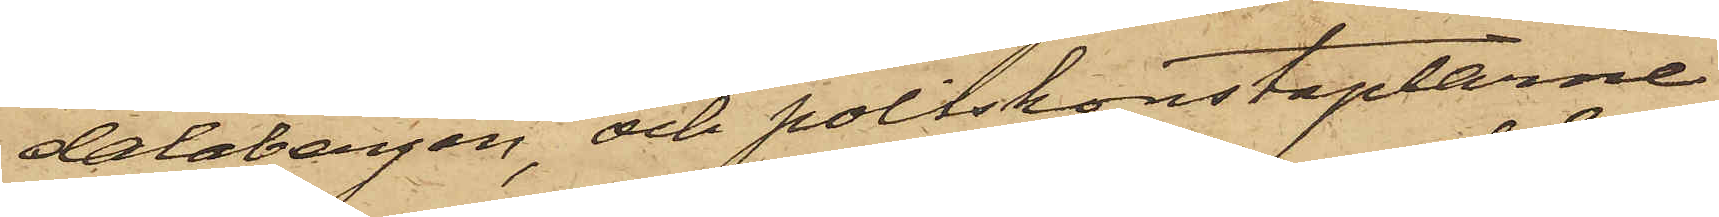dalabergen och poliskonstaplarne
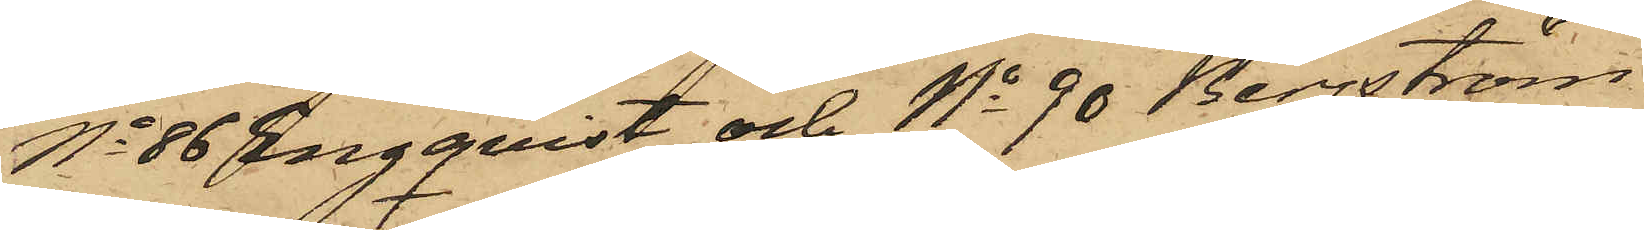No 86 Engqvist och No 90 Bergström
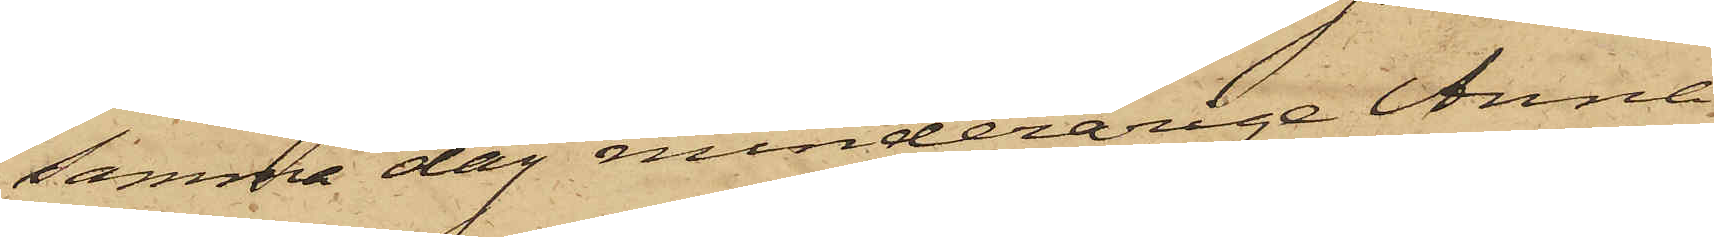samma dag minderåriga Anna
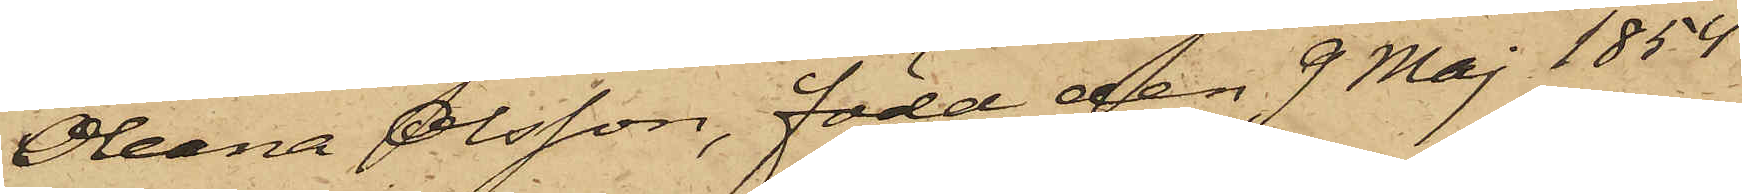Oleana Olsson, född den 9 Maj 1854
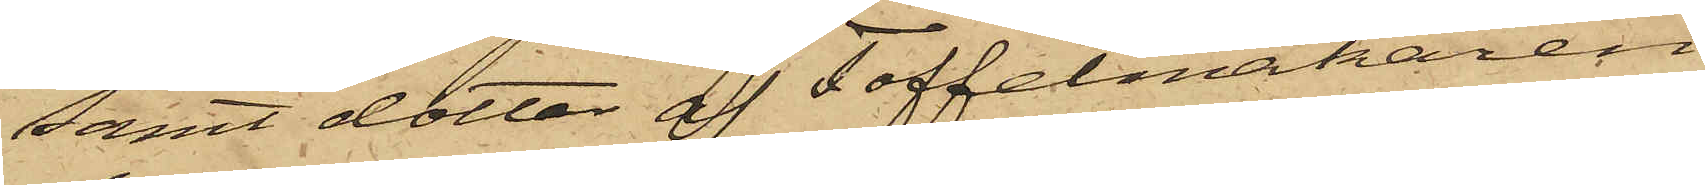samt dotter af Toffelmakaren
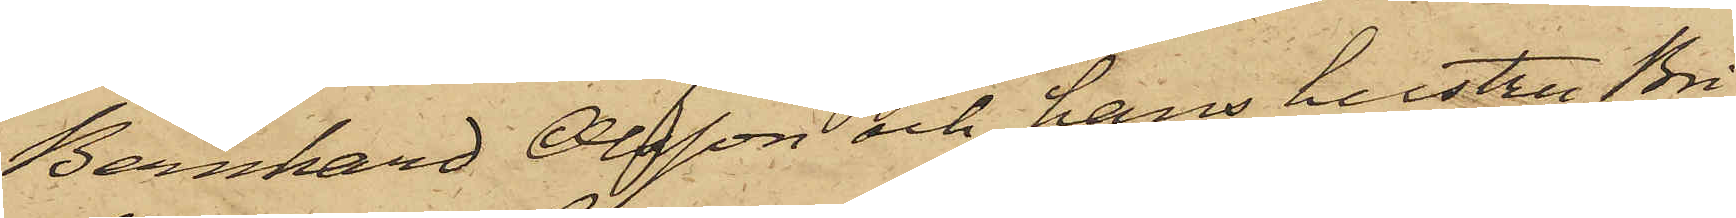Bernhard Olsson och hans hustru Bri¬
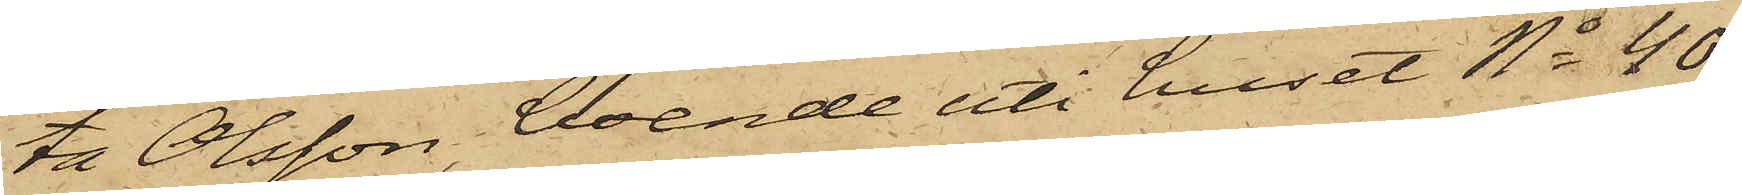ta Olsson, boende uti huset No 40
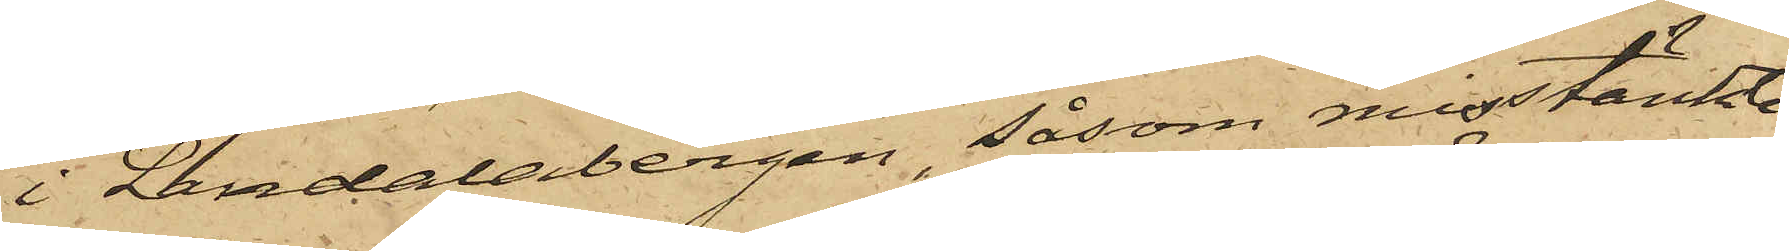i Landalabergen, såsom misstänkte
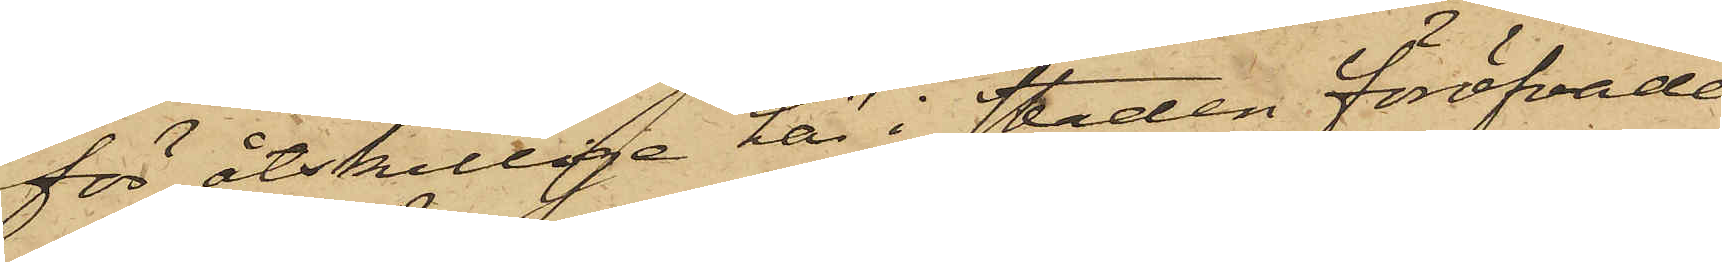för åtskillige här i staden föröfvade
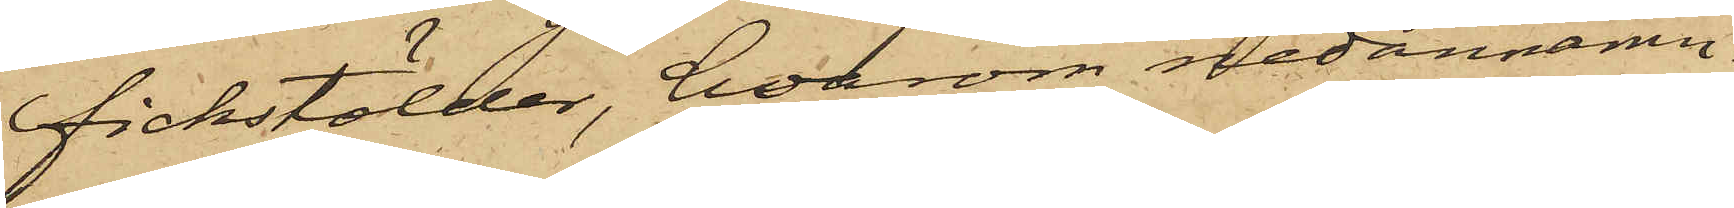fickstölder, hvarom nedannämn¬
